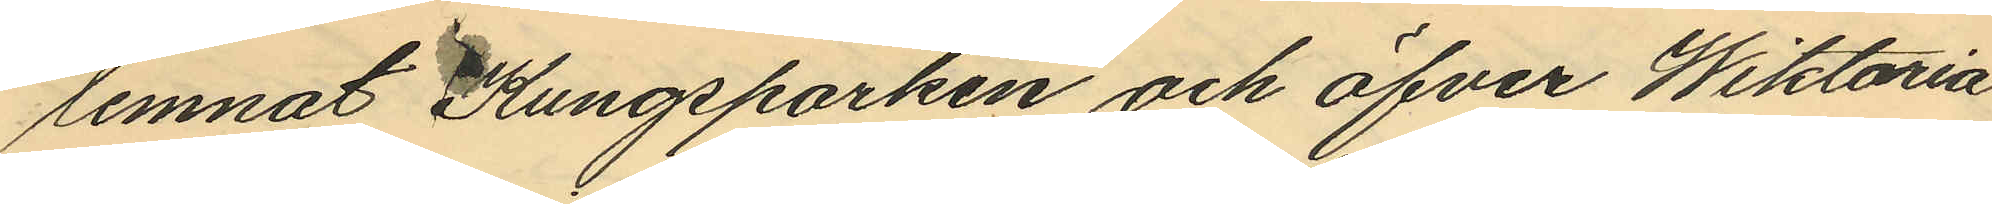lemnat Kungsparken och öfver Wiktoria
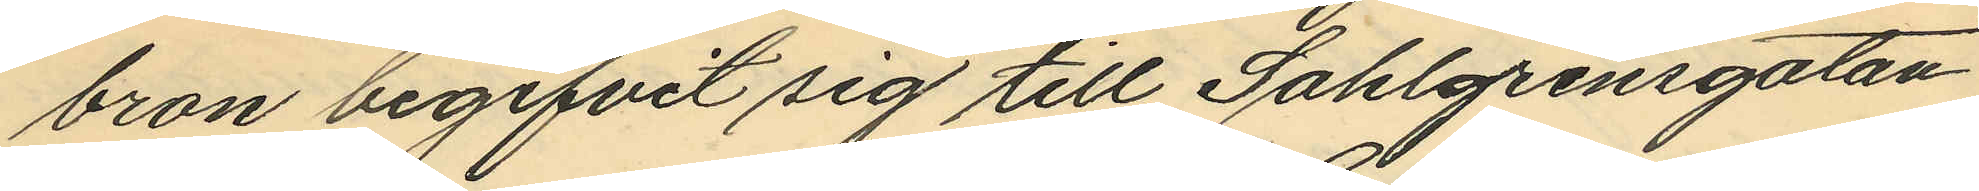bron begifvit sig till Sahlgrensgatan
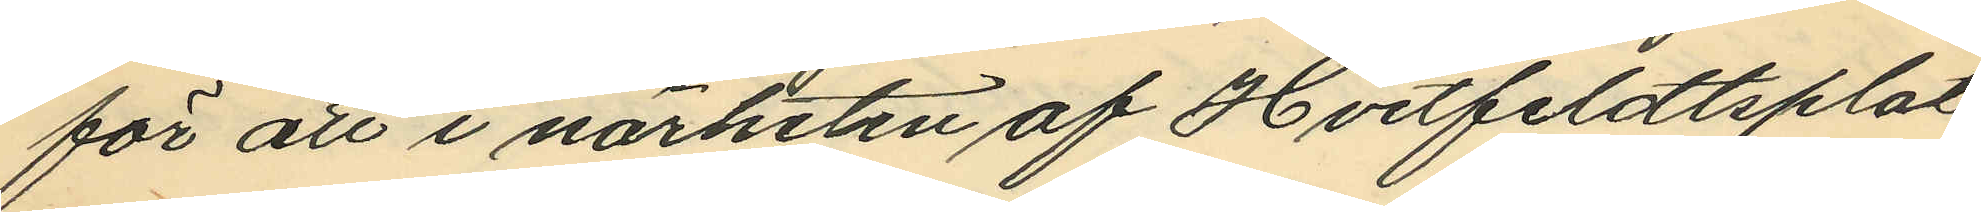för att i närheten af Hvitfeldtsplat¬
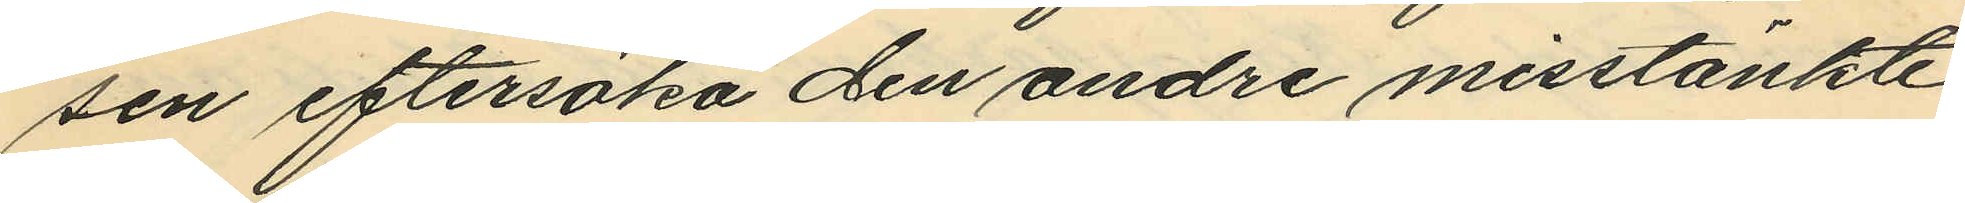sen eftersöka den andre misstänkte
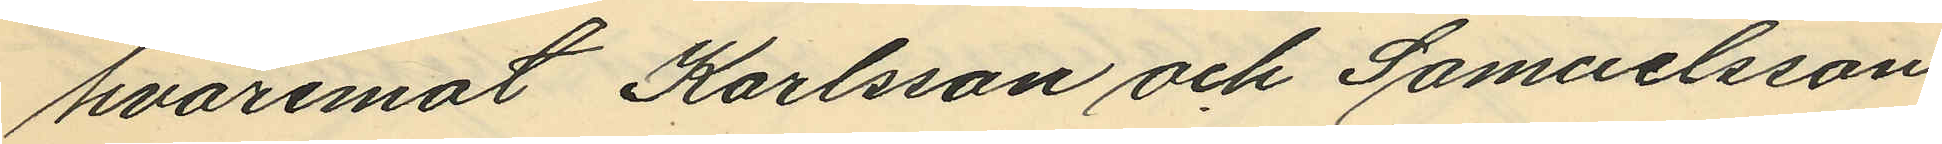hvaremot Karlsson och Samuelsson
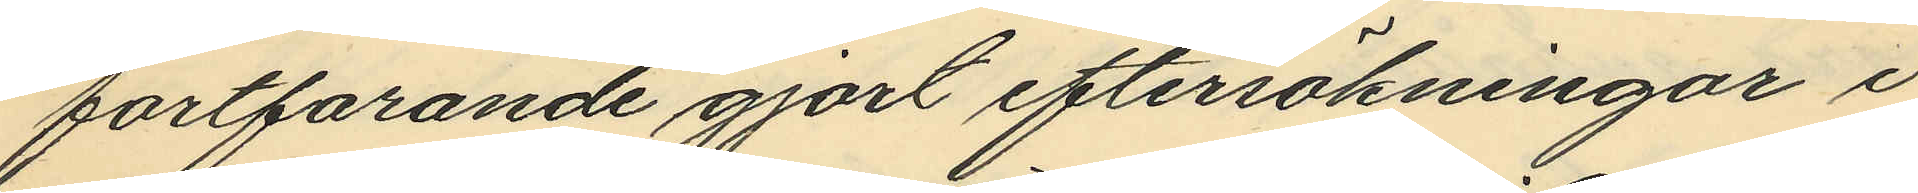fortfarande gjort eftersökningar i
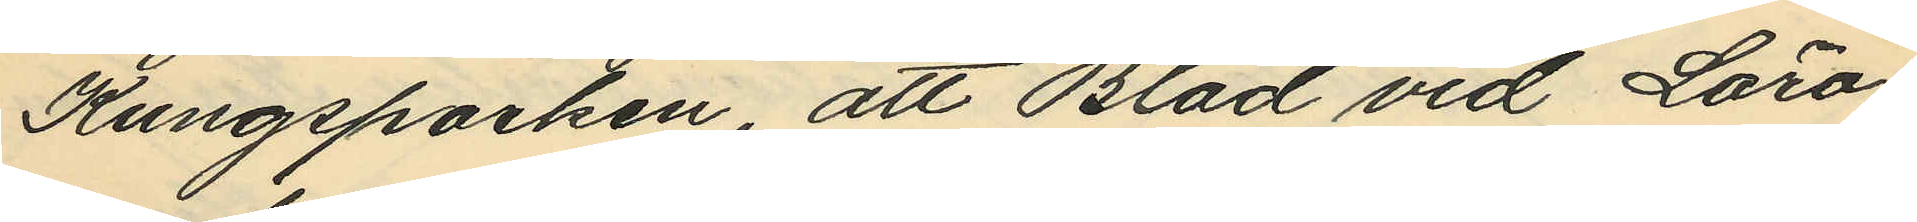Kungsparken, att Blad vid Läro¬
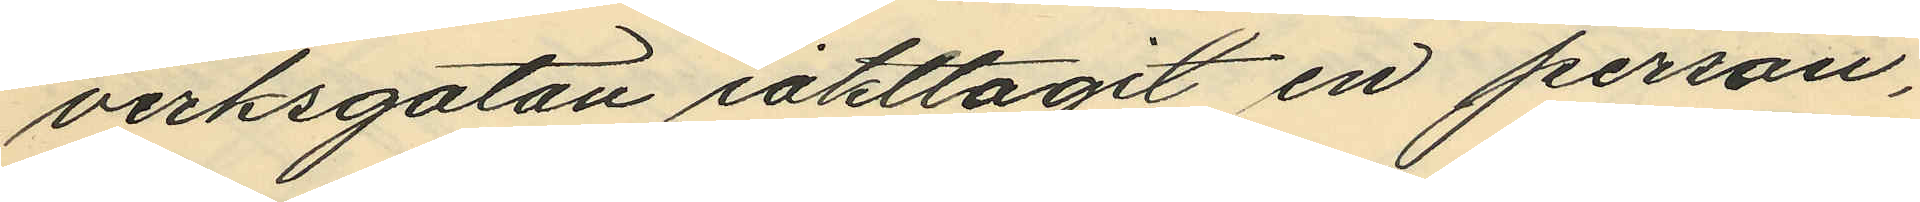verksgatan iakttagit en person,
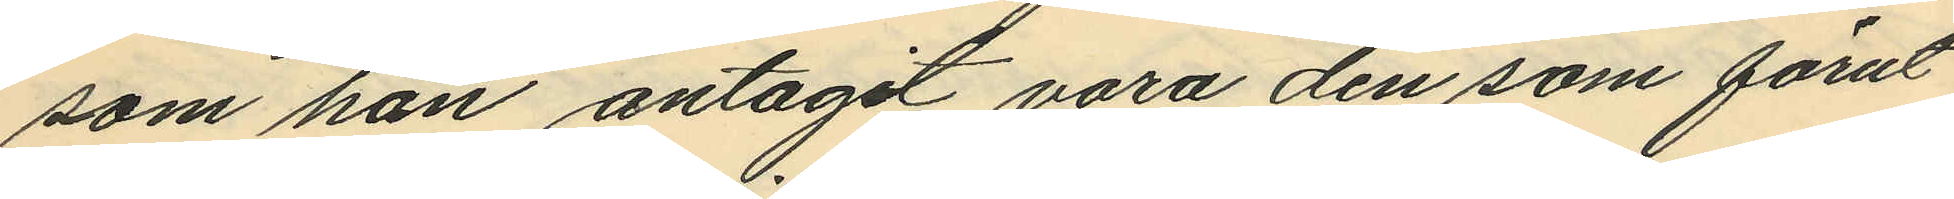som han antagit vara den som förut
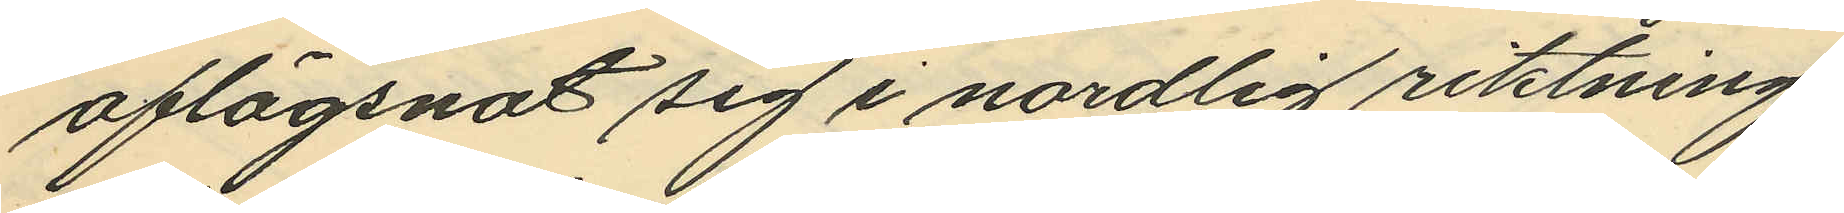aflägsnat sig i nordlig riktning,
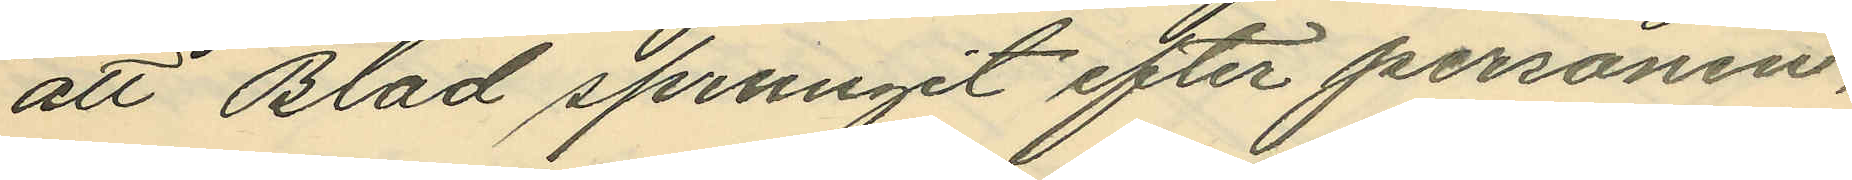att Blad sprungit efter personen,
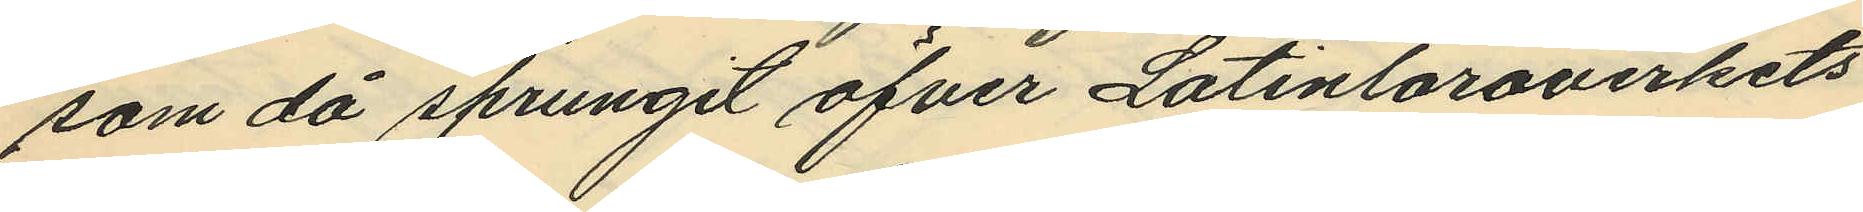som då sprungit öfver Latinläroverkets
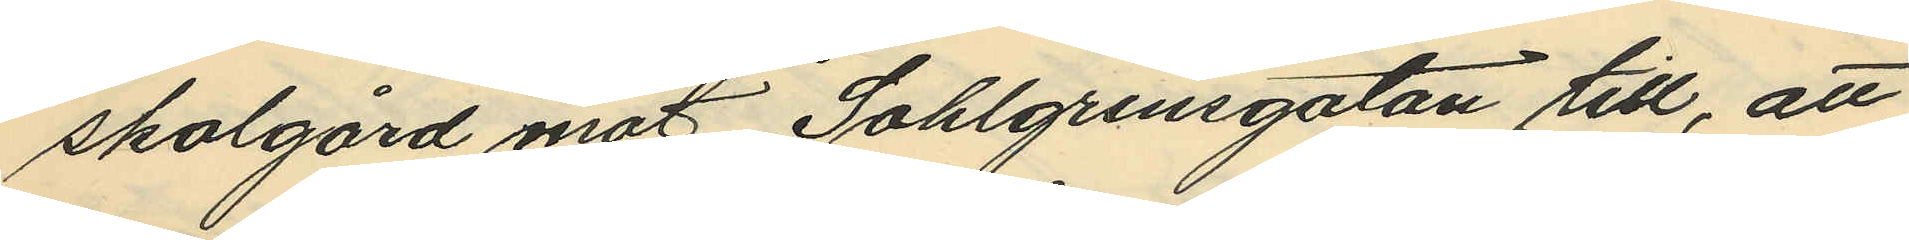skolgård mot Sahlgrensgatan till, att
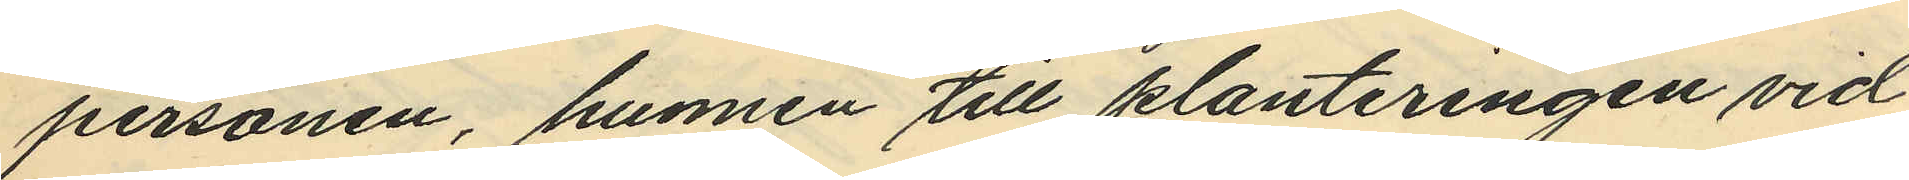personen, hunnen till planteringen vid
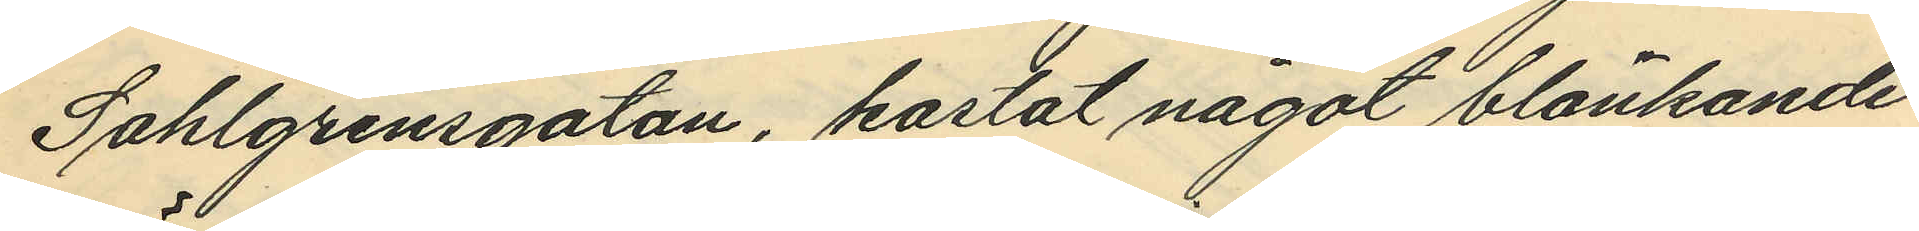Sahlgrensgatan, kastat något blänkande
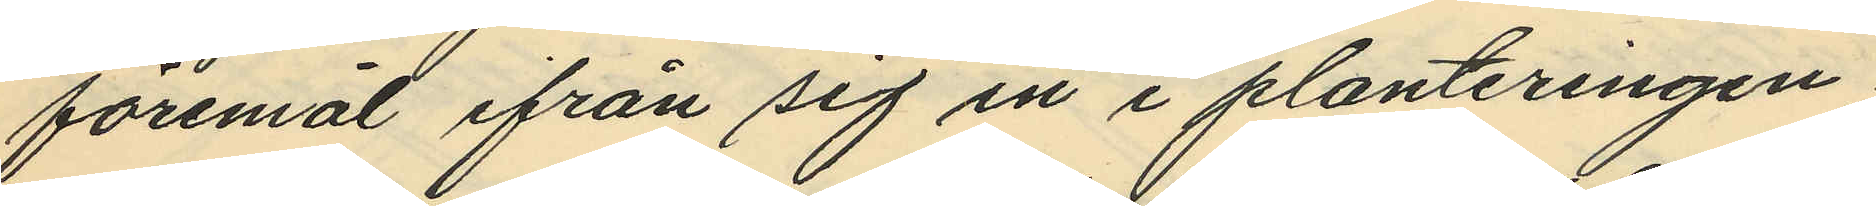föremål ifrån sig in i planteringen;
